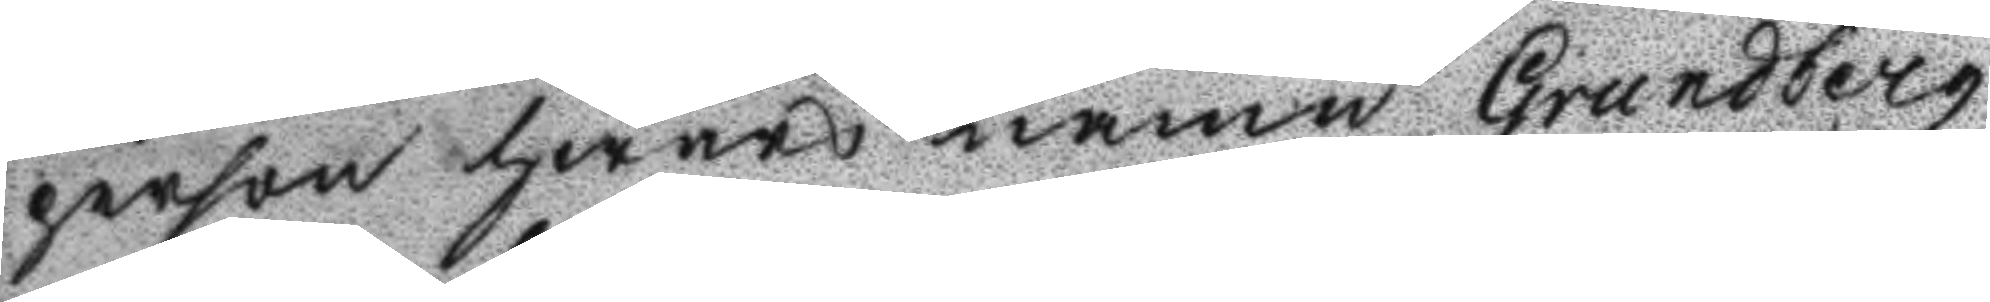person hwars namn Grundberg
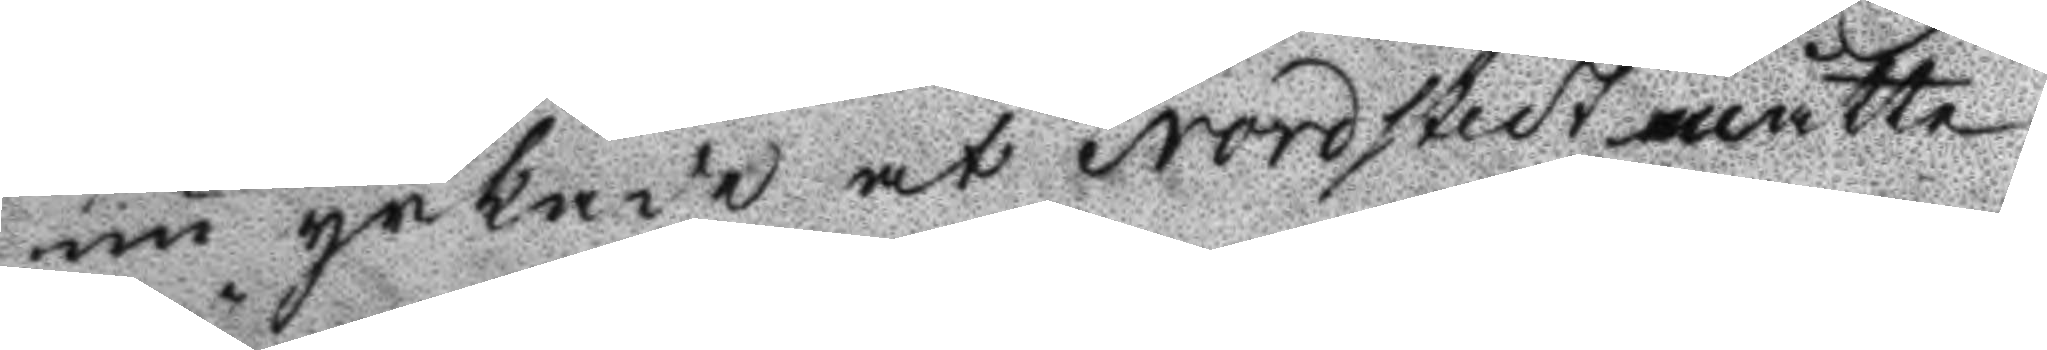nu yrkade at Nordstedt måtte
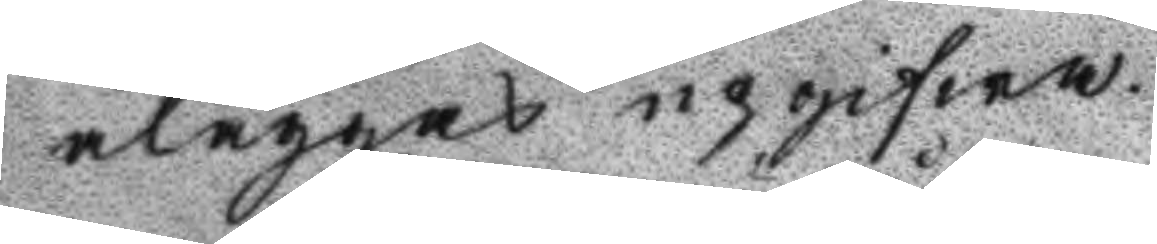åläggas upgifwa.
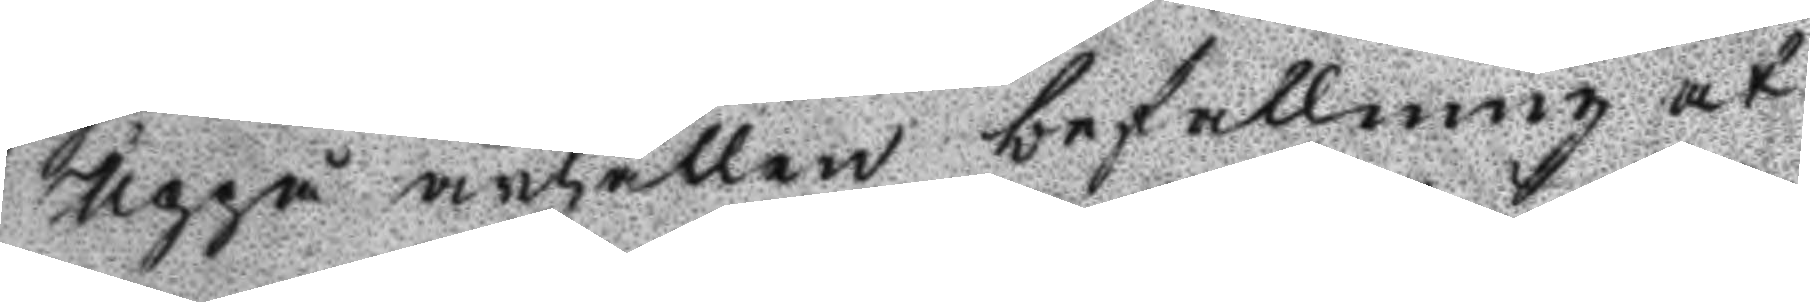Uppå anhållen befallning at
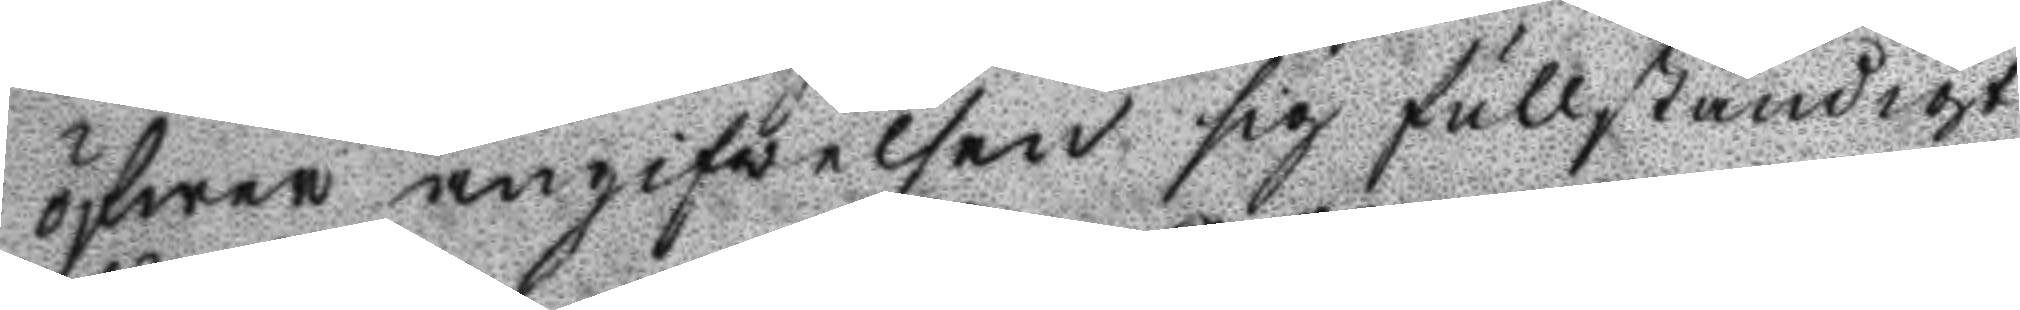öfwer angifwelsen sig fullständigt
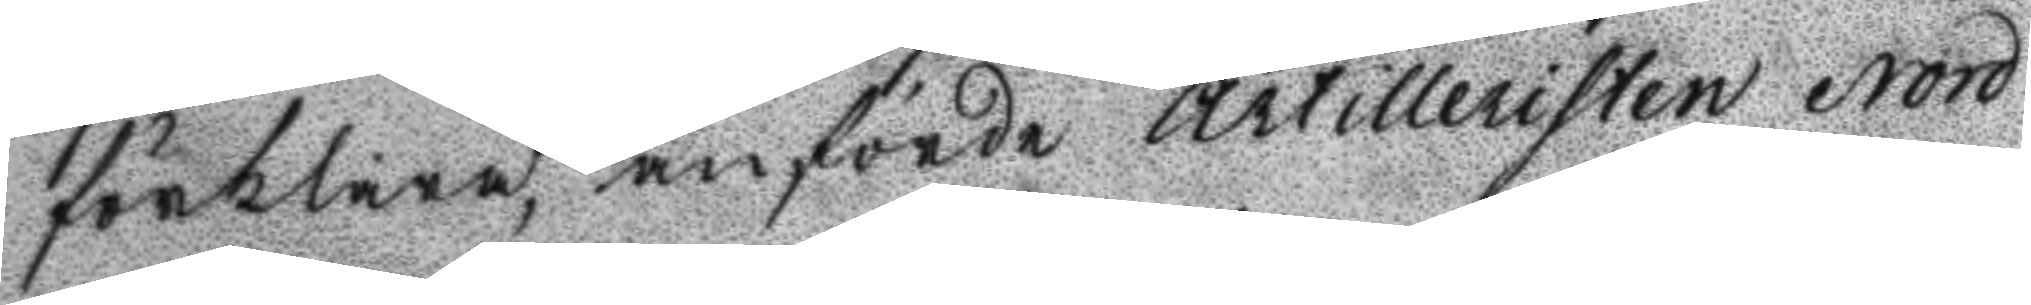förklara, anförde artilleristen Nord
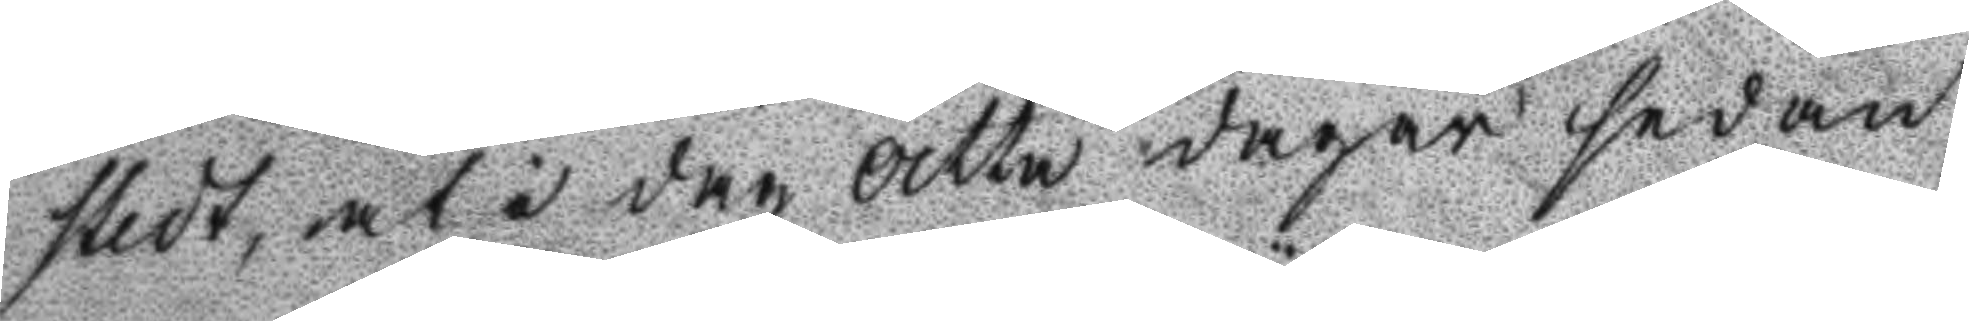stedt, at i dag åtta dagar sedan
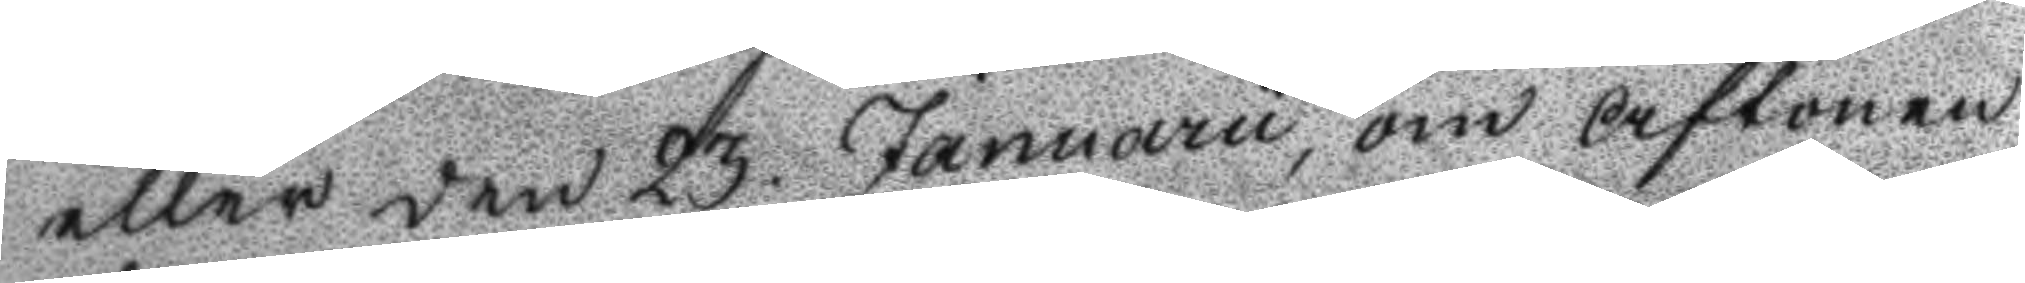eller den 23 Januarii, om aftonen
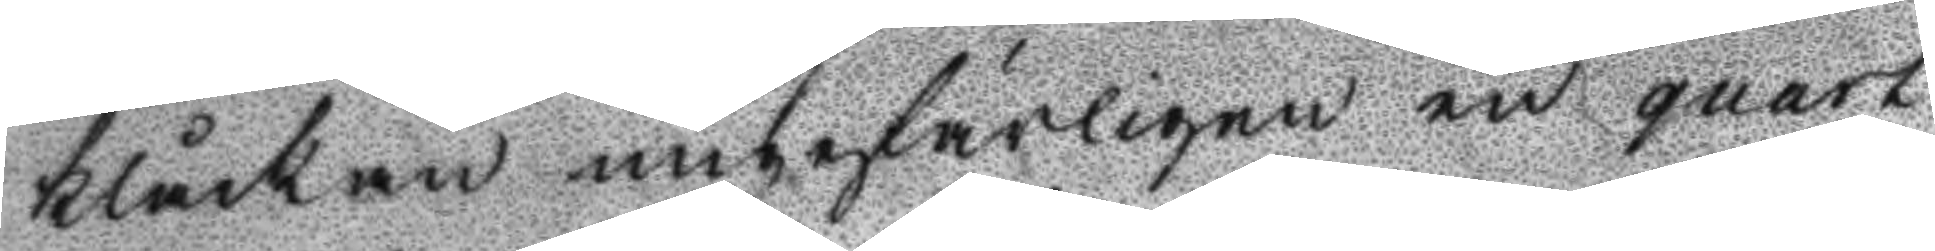klåckan ungefärligen en quart
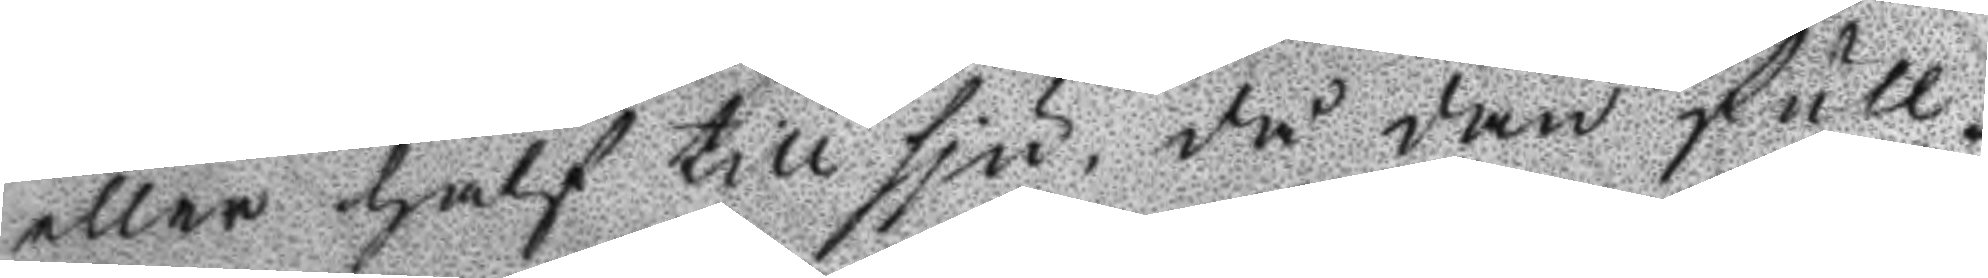eller hafl till sju, då den full¬
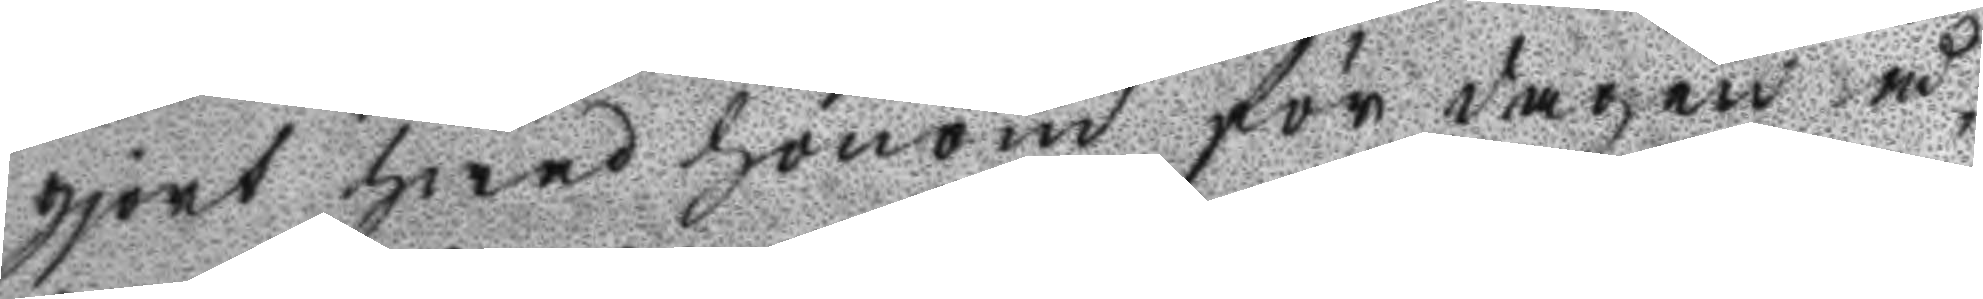gjort hwad honom för dagen å¬
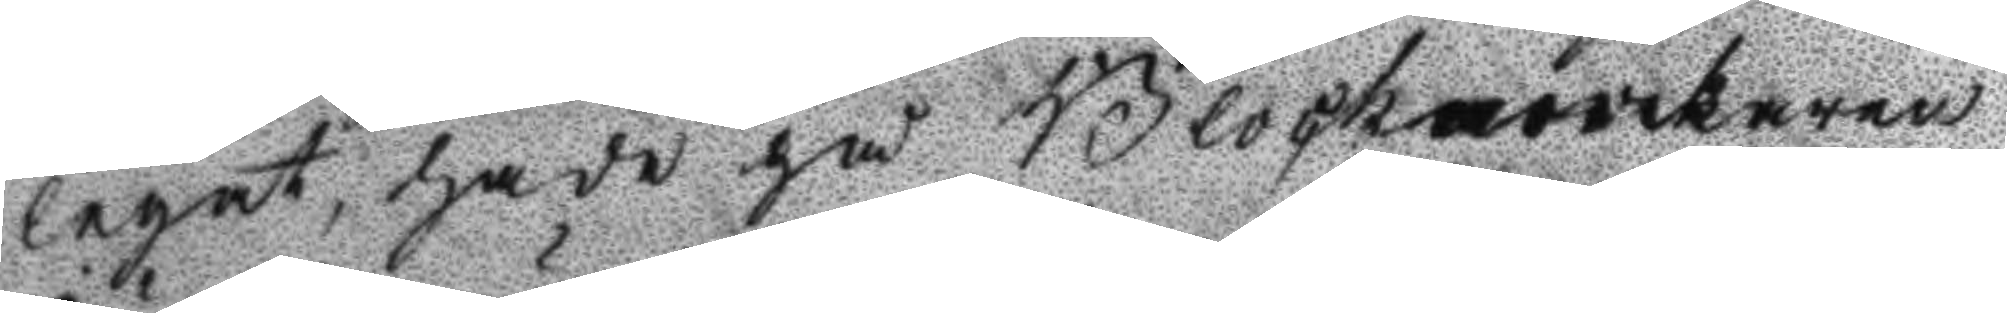legat, hade på Blockmovckaren
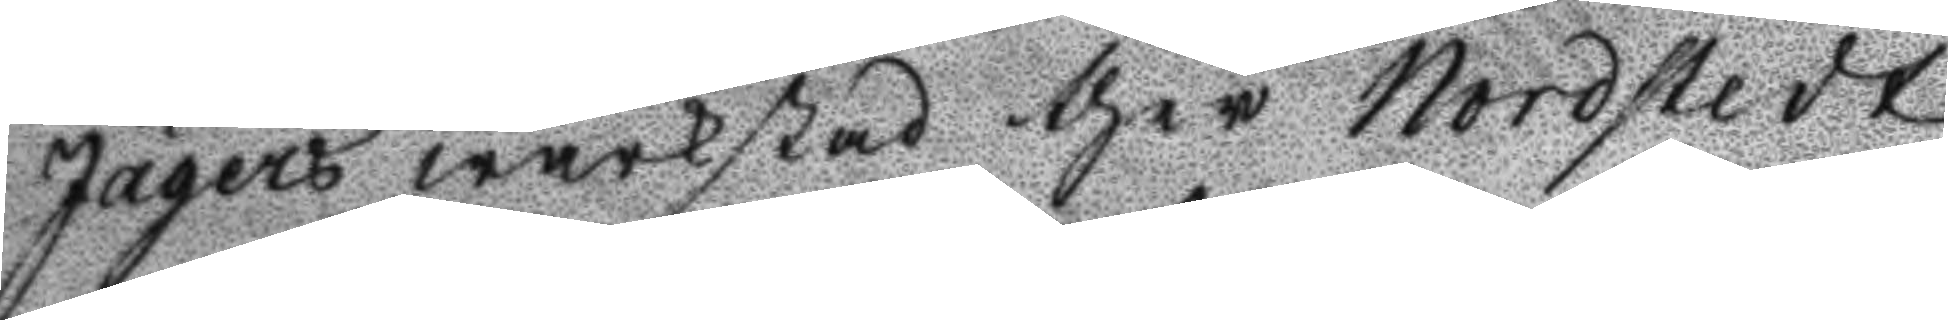Jägers wärkstad ther Nordstedt
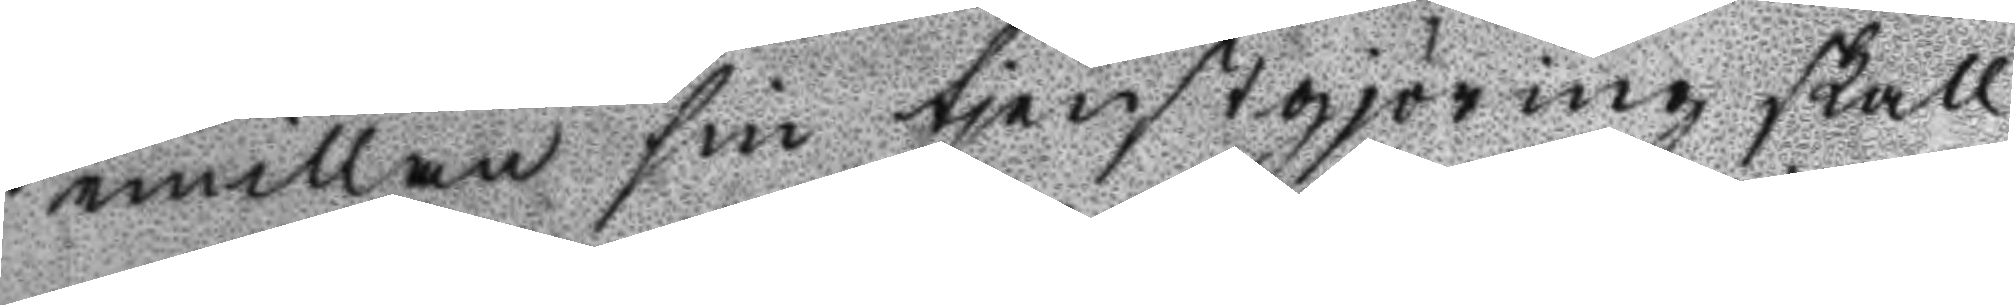emillan sin tjenstgjöring skall
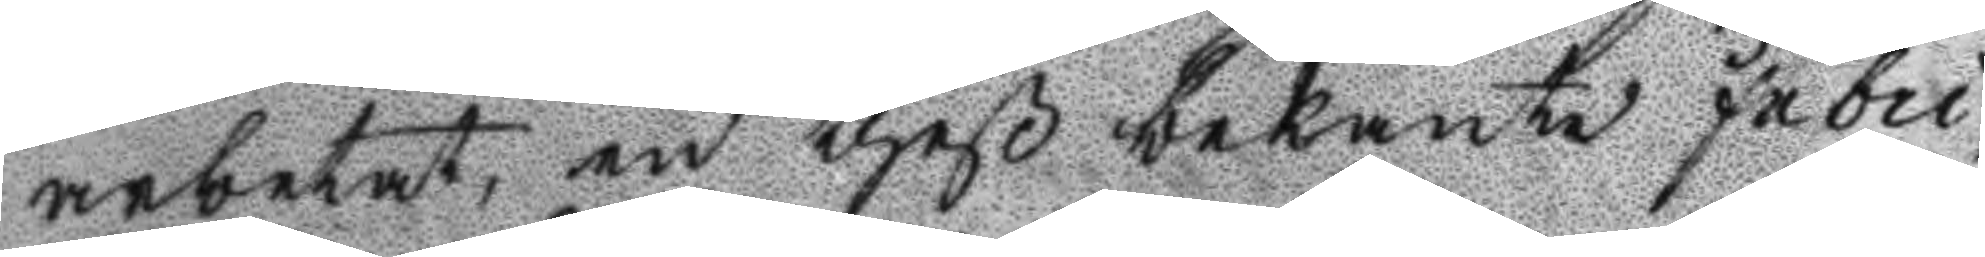arbetat, en theß bekante Fabri¬
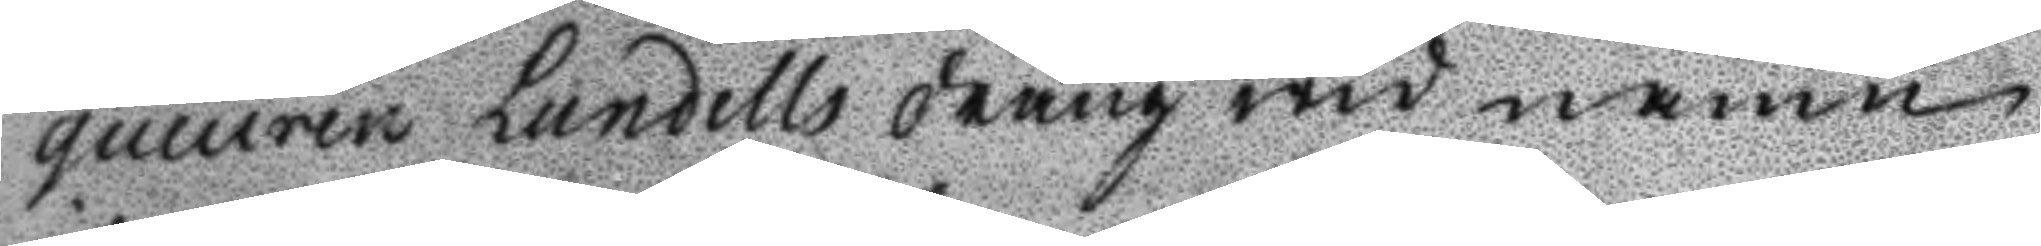qumren Lundells dräng wid namn
